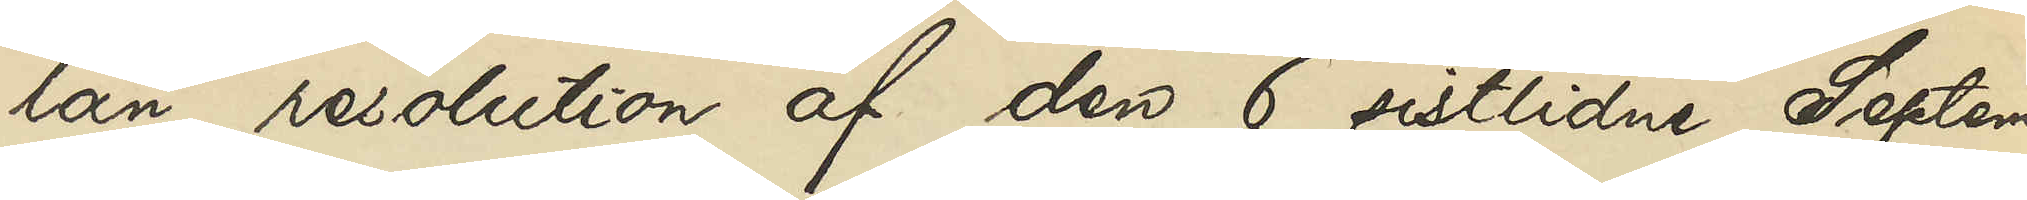län resolution af den 6 sistlidne Septem¬
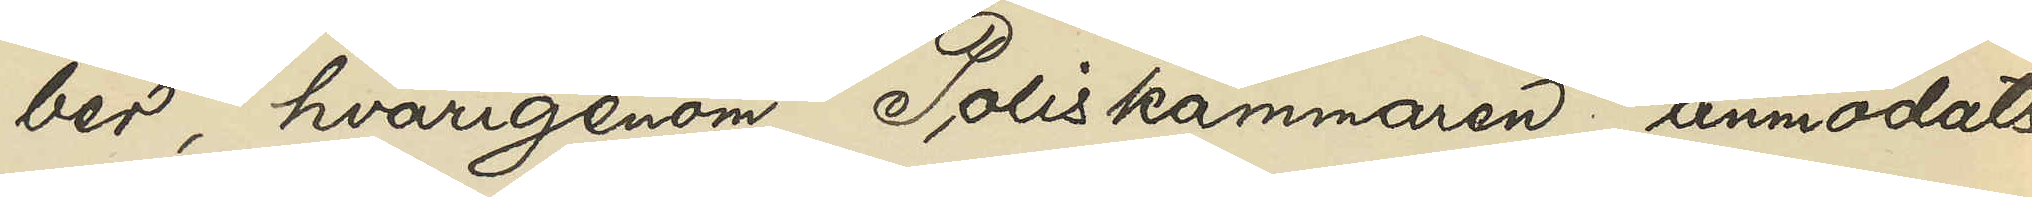ber, hvarigenom Poliskammaren anmodats
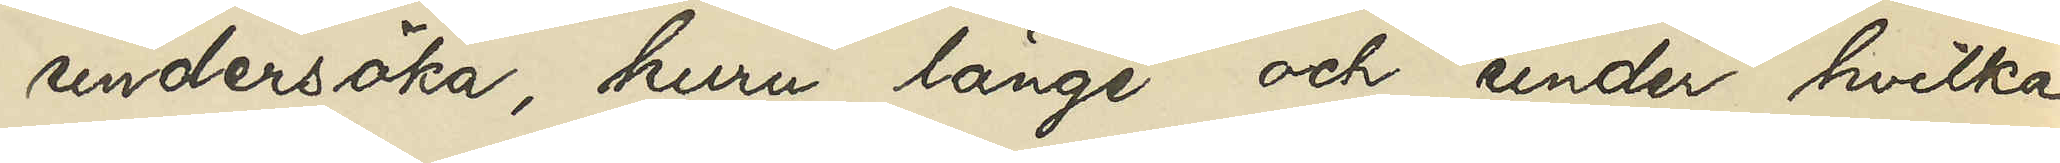undersöka, huru länge och under hvilka 
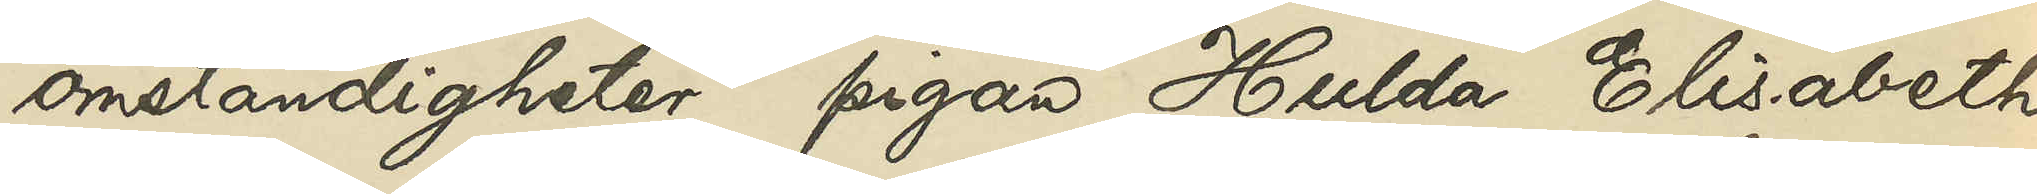omständigheter pigan Hulda Elisabeth
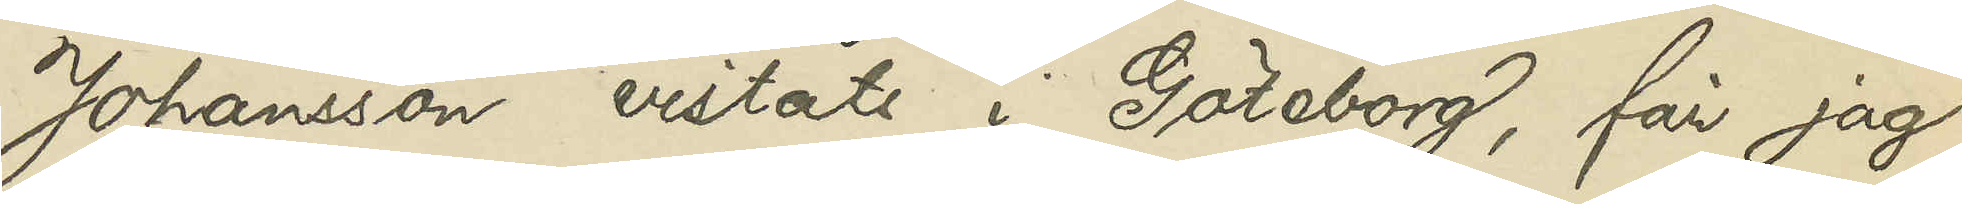Johansson vistats i Göteborg, får jag
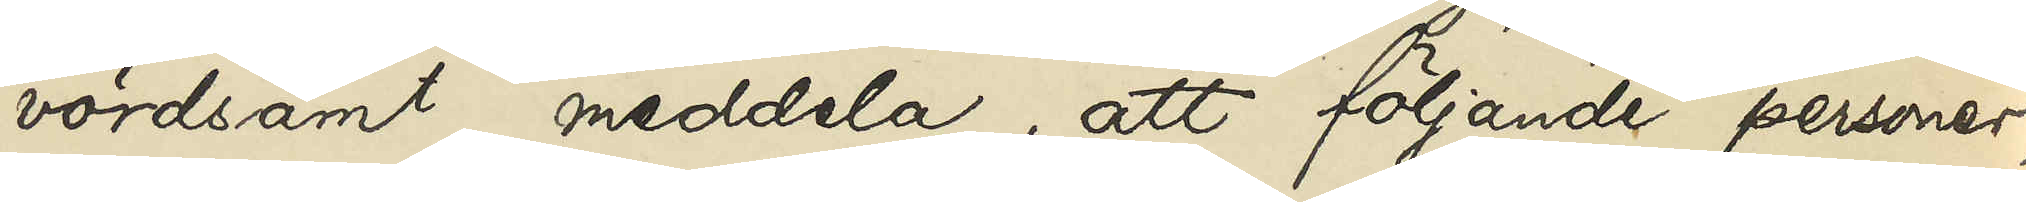vördsamt meddela, att följande personer,
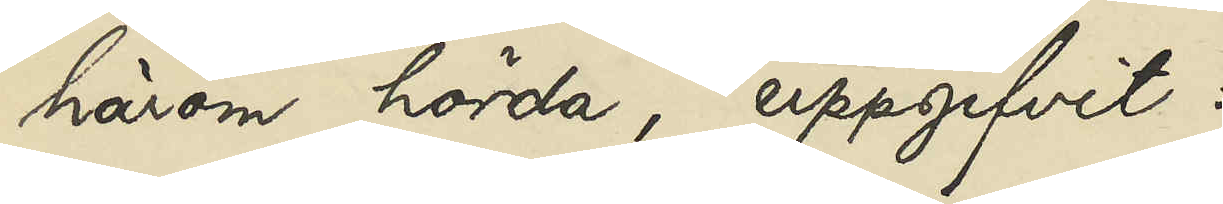härom hörda, uppgifvit:
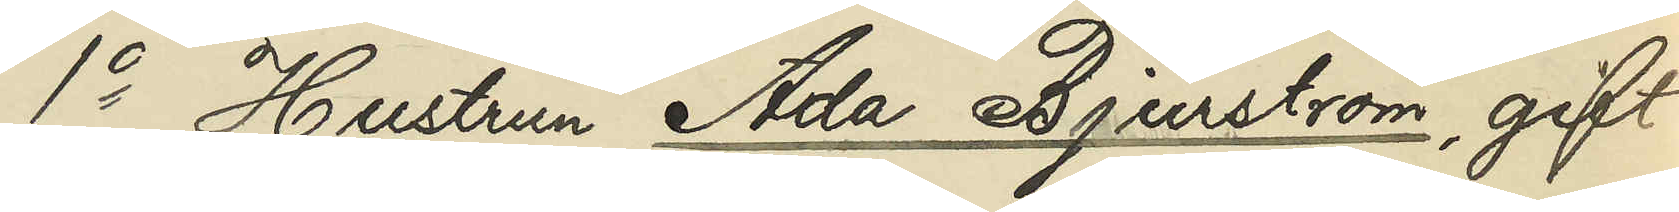1o Hustrun Ada Bjurstöm, gift
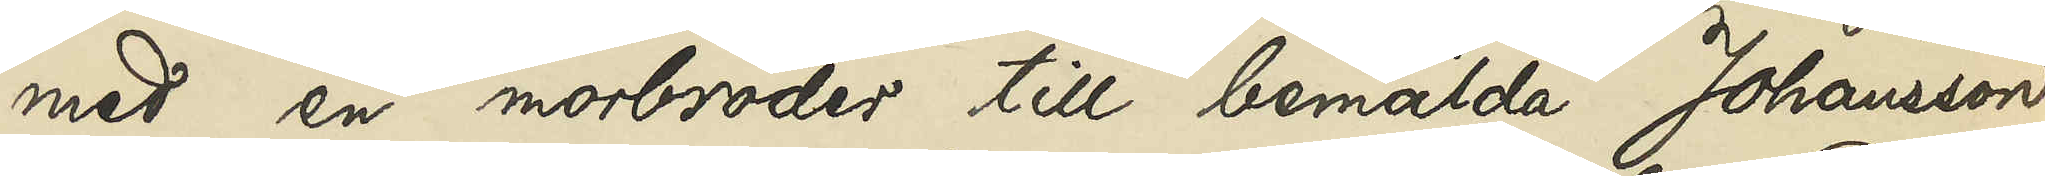med en morbroder till bemälda Johansson
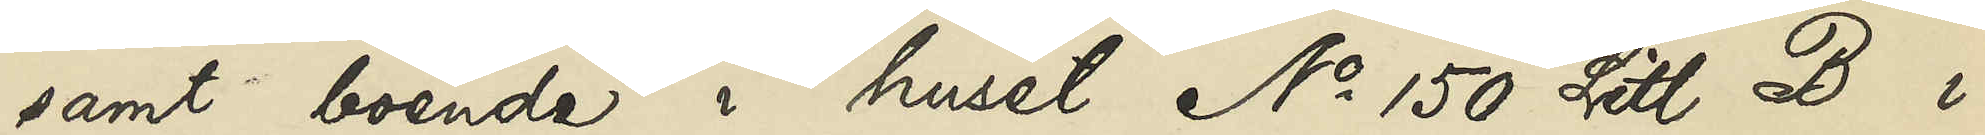samt boende i huset No 150 Litt. B i
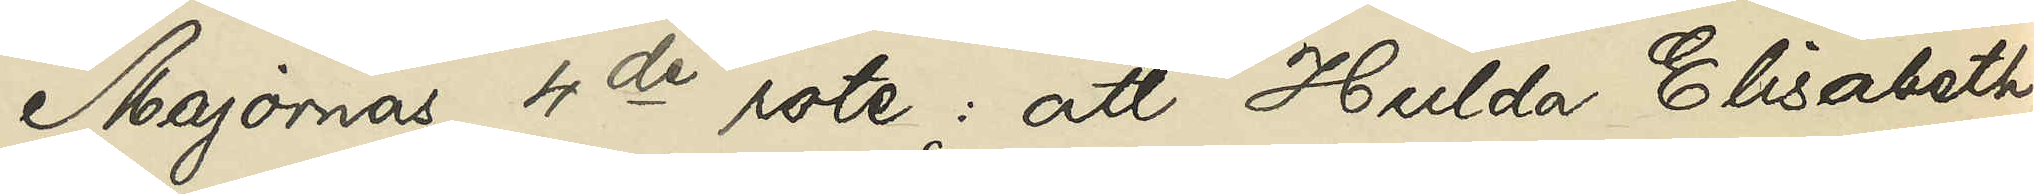Majornas 4de rote: att Hulda Elisabeth
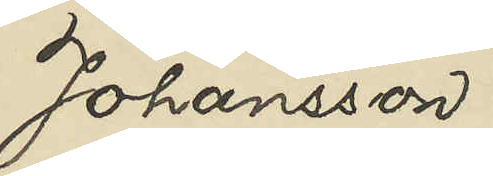Johansson
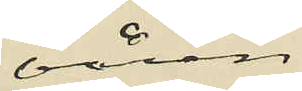våren
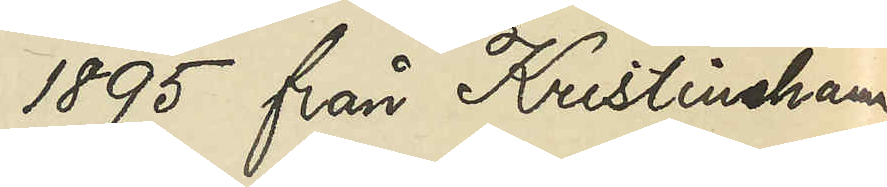1895 från Kristinehamn
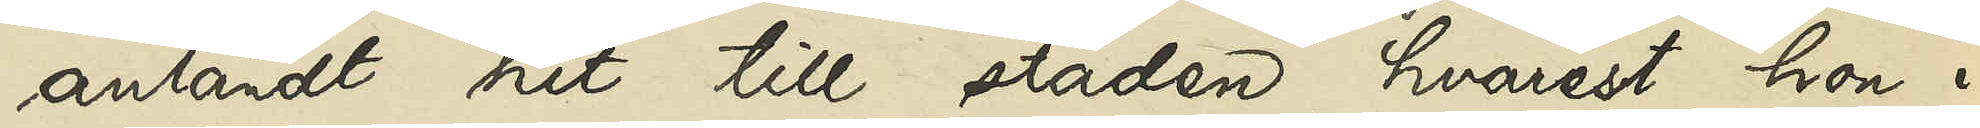anländt hit till staden, hvarest hon i
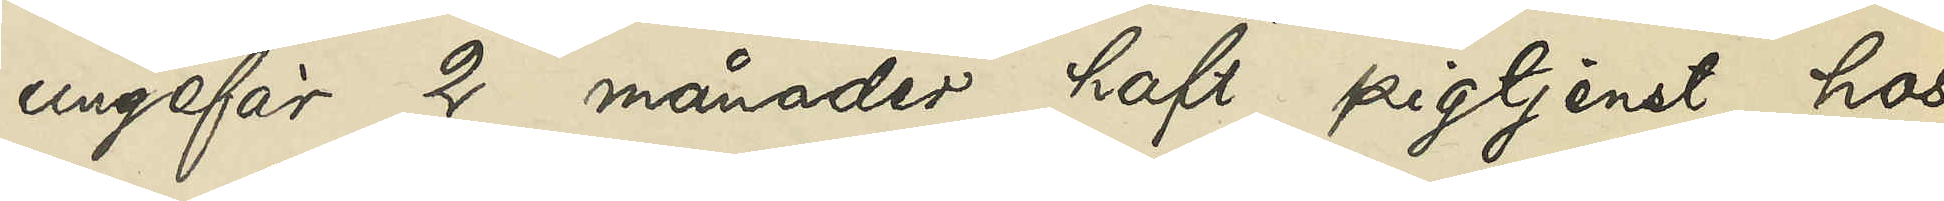ungefär 2 månader haft pigtjenst hos
